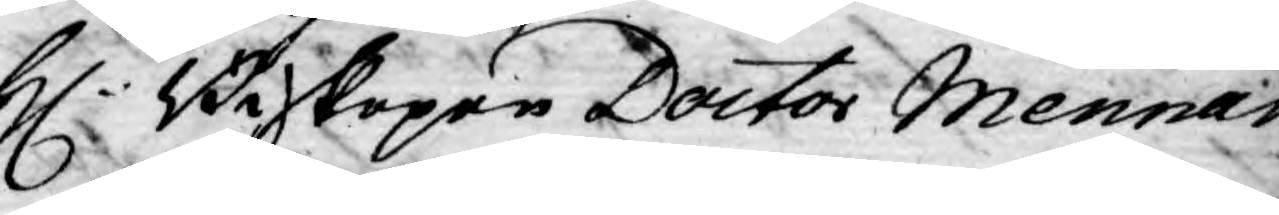H: Biskopen Doctor Mennan¬
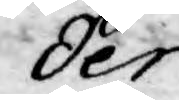der
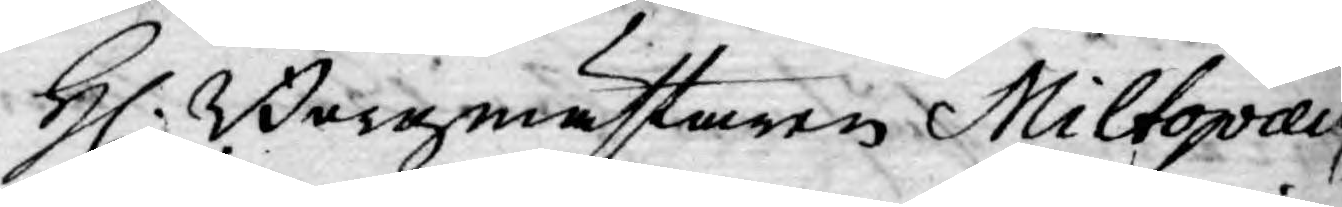H. Borgmästaren Miltopæus
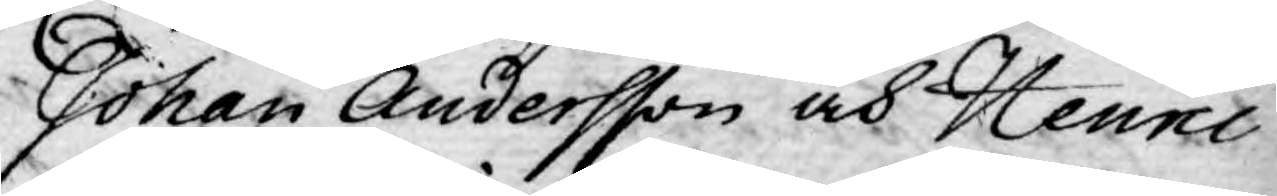Johan Andersson och Henric
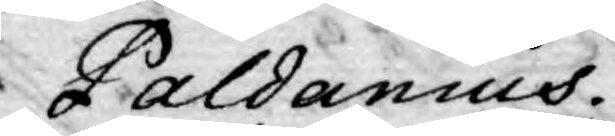Paldanius.
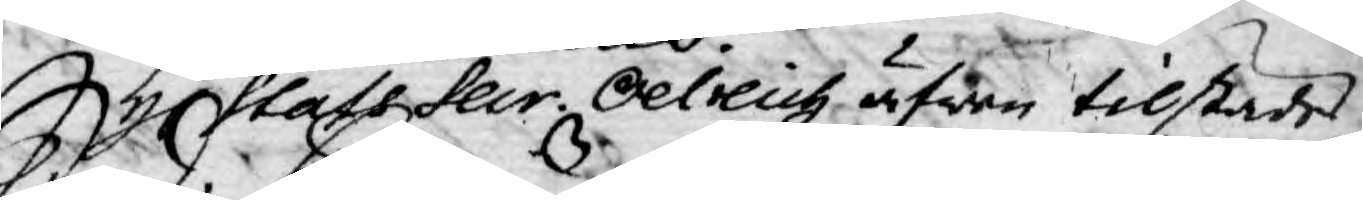S: d: Stats Secr. Oelreich äfwen tilstädes.
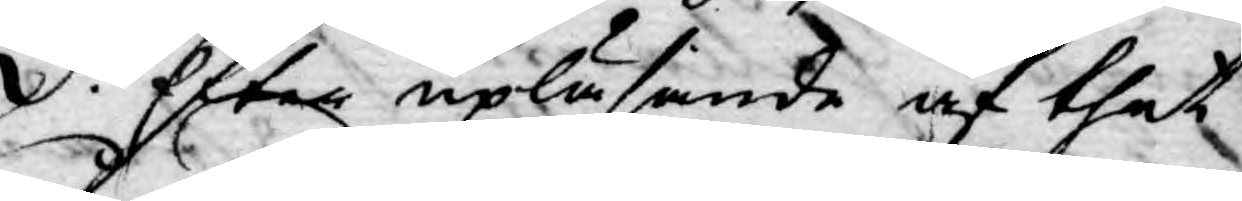Efter upläsande af thet
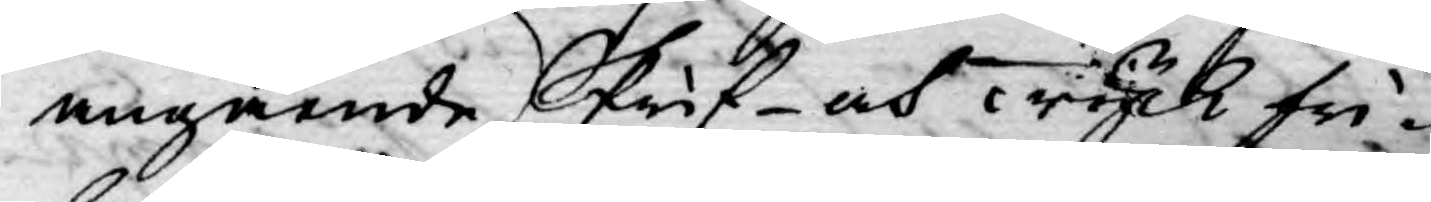angående Skrif- och Tyckfri¬
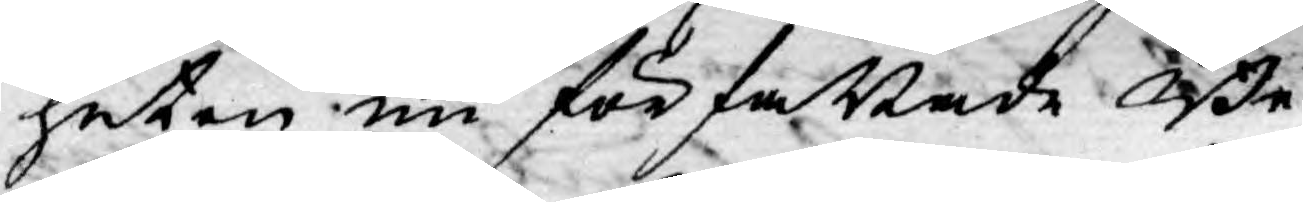heten nu författade Be¬
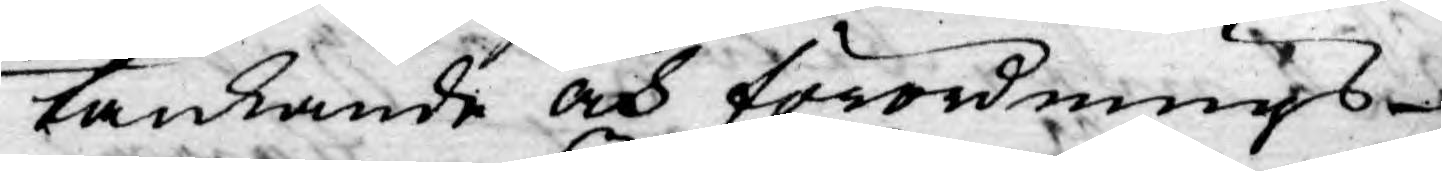tänkande och förordnings¬
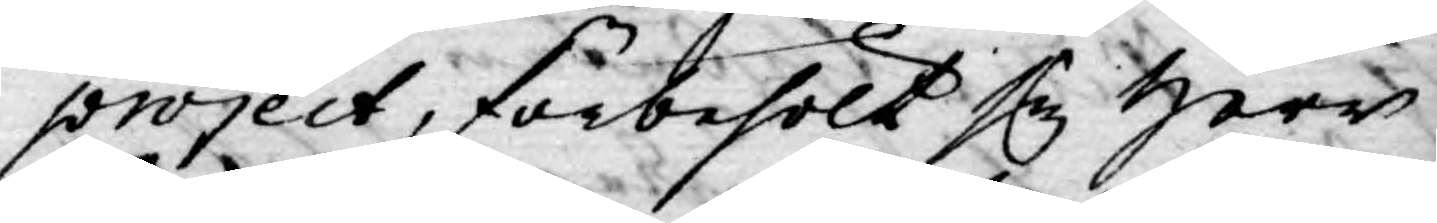project, förbehölt sig Herr
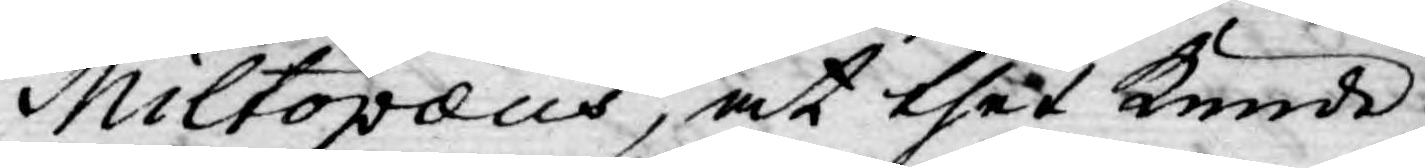Miltopæus, at thet kunde
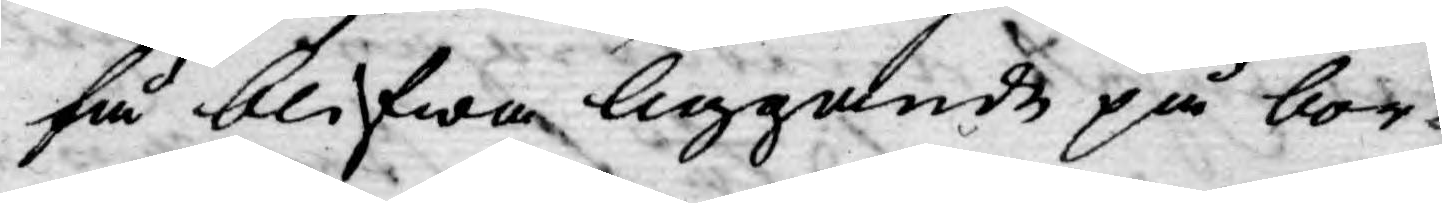få blifwa liggande på bor¬
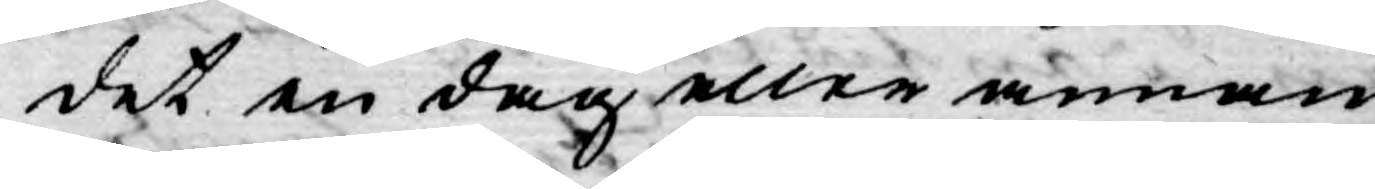det en dag eller annan;
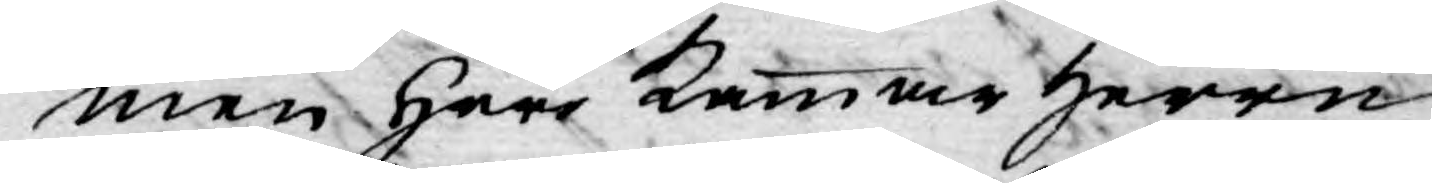men Herr Kammar herren
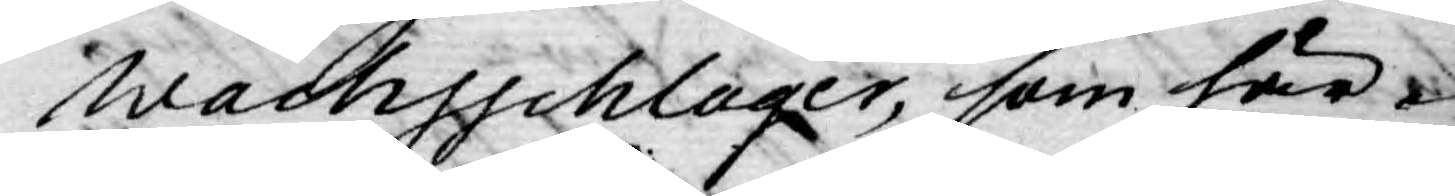Wachsschlager, som här¬
